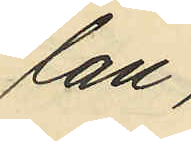lan,
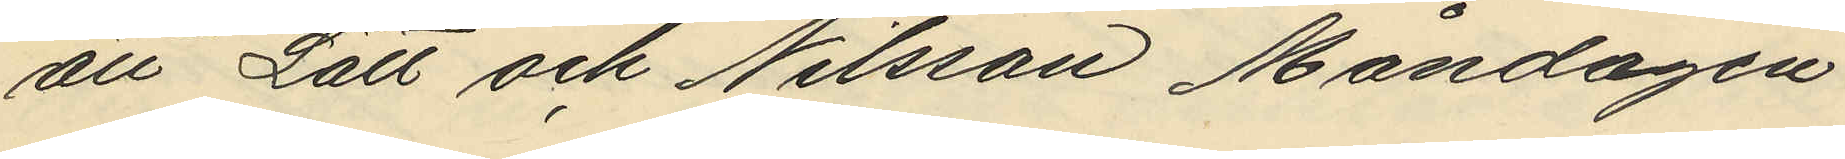att Lätt och Nilsson Måndagen
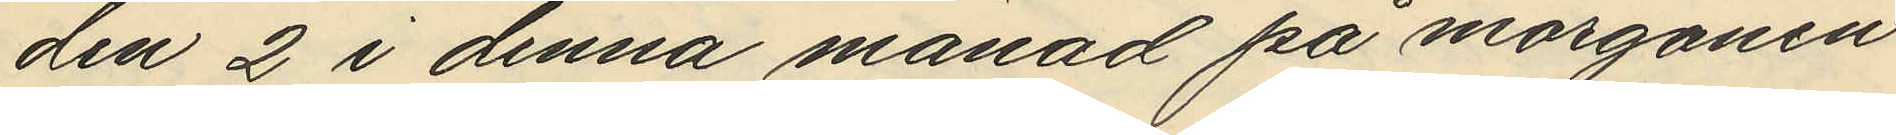den 2 i denna månad på morgonen
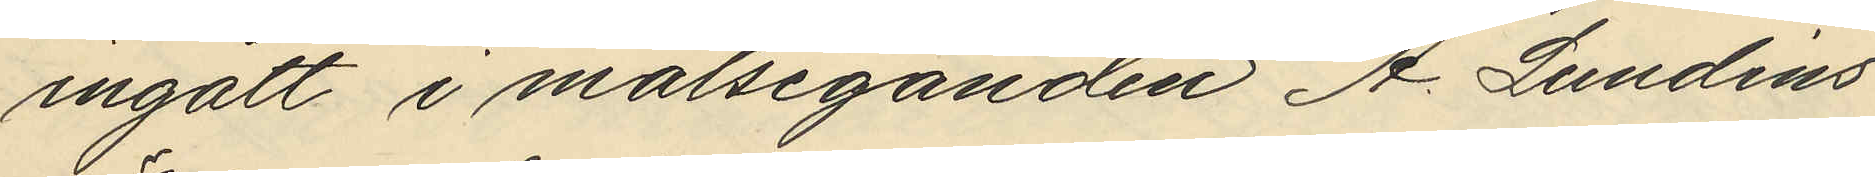ingått i målseganden A. Lundins
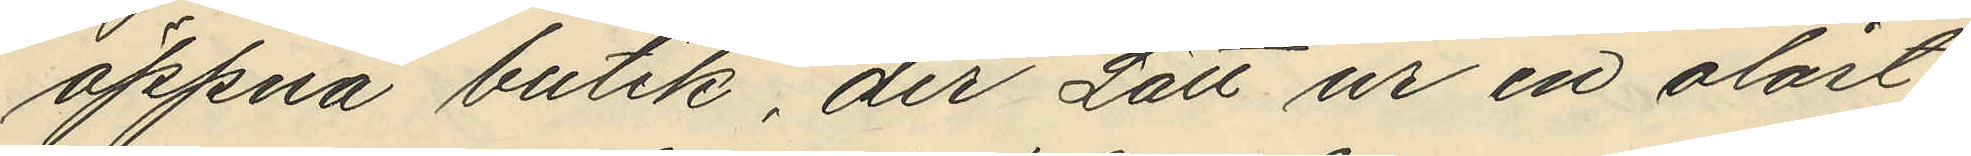öppna butik, der Lätt ur en olåst
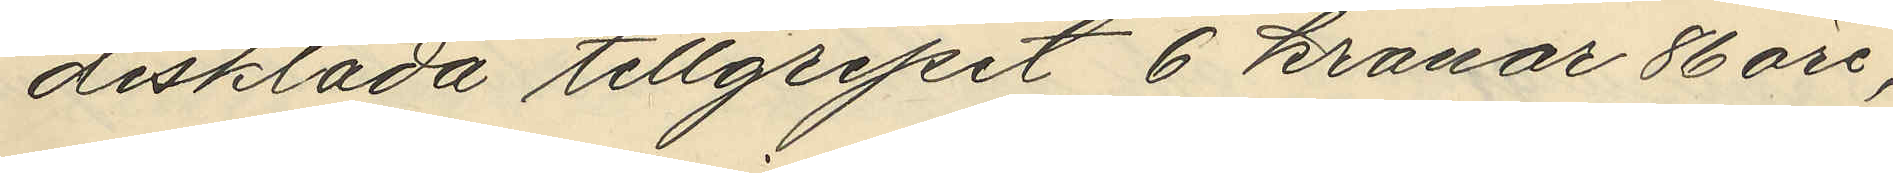disklåda tillgripit 6 kronar 86 öre,
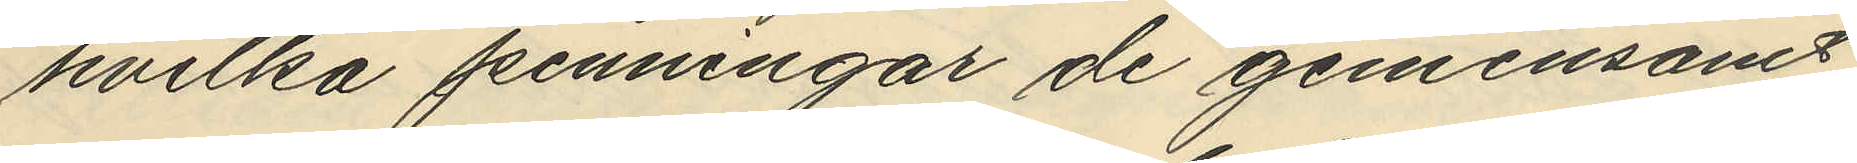hvilka penningar de gemensamt
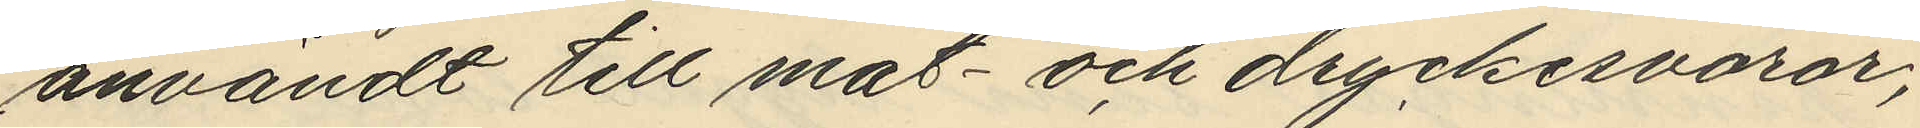användt till mat- och dryckesvaror,
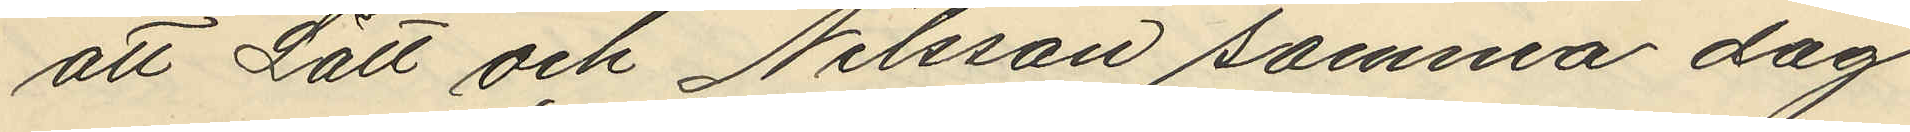att Lätt och Nilsson samma dag
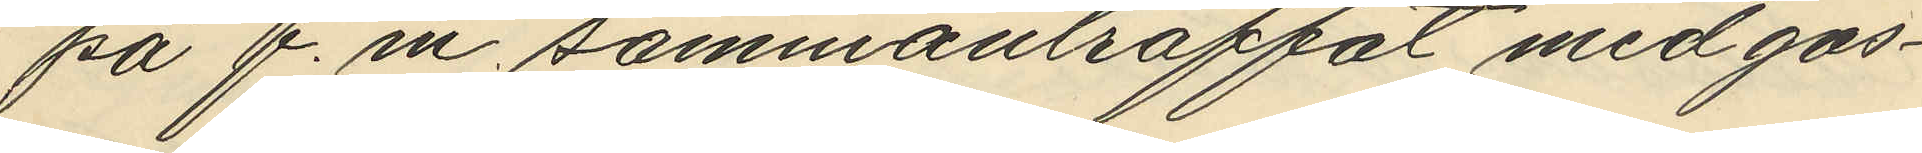på f.m. sammanträffat med gos¬
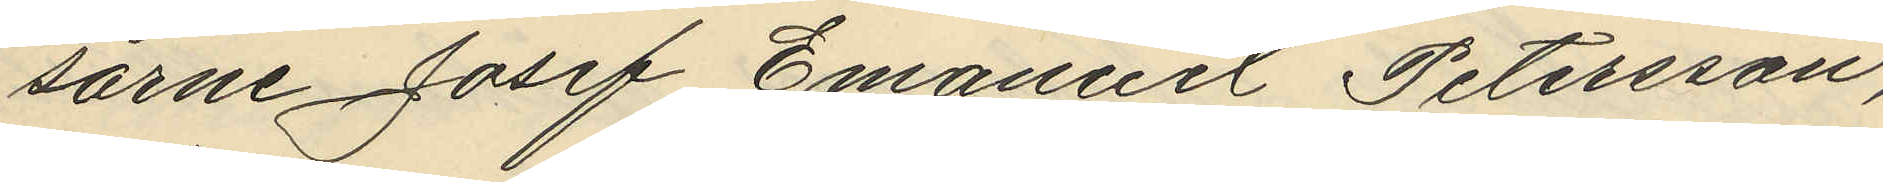sarne Josef Emanuel Petersson,
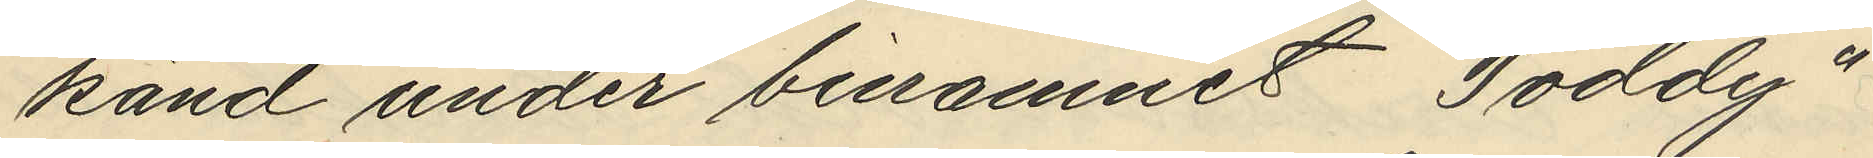känd under binamnet "Toddy"
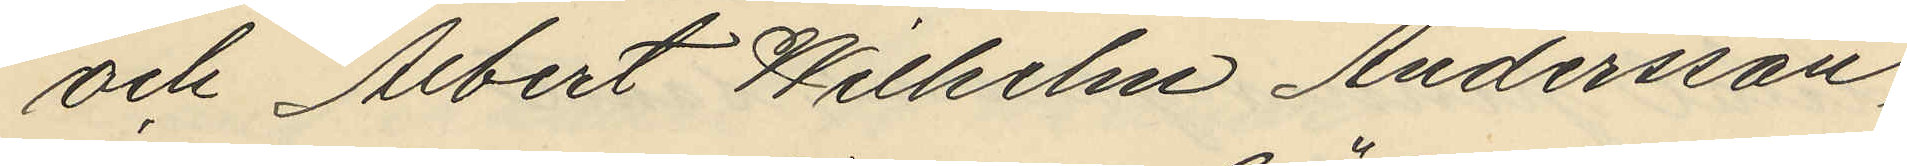och Albert Wilhelm Andersson,
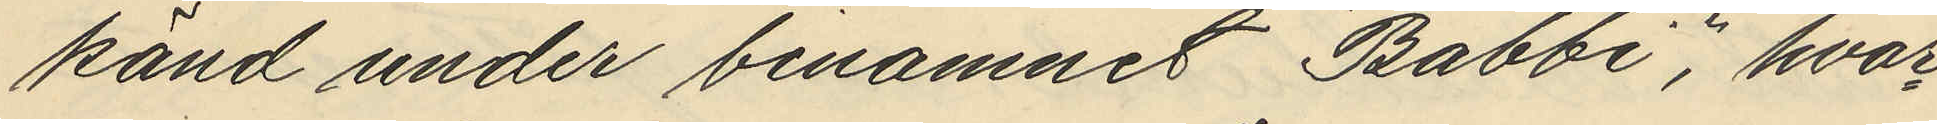känd under binamnet "Babbi", hvar¬
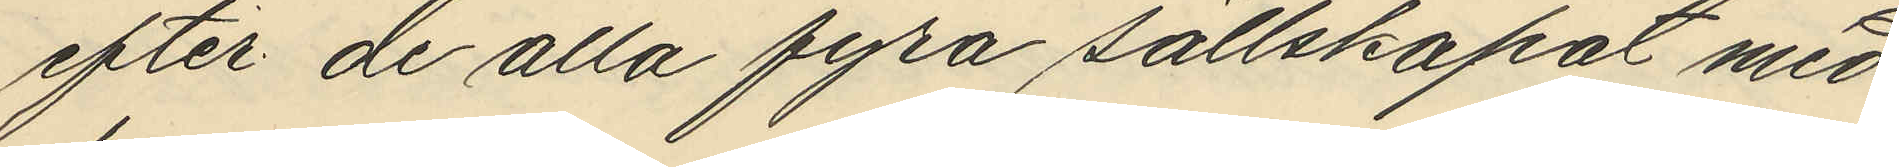efter de alla fyra sällskapat med
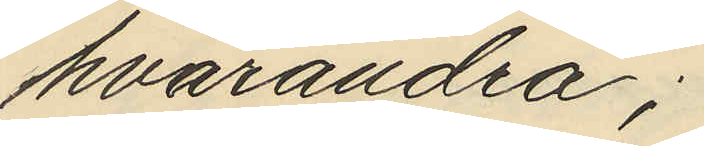hvarandra;
